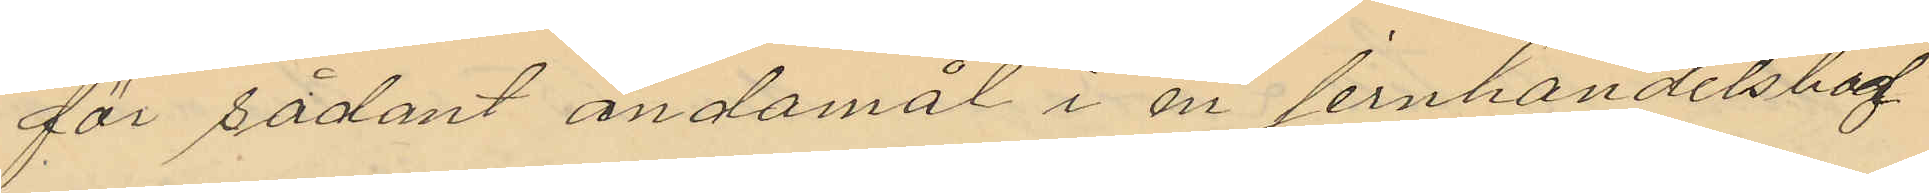för sådant ändamål i en jernhandelsbod
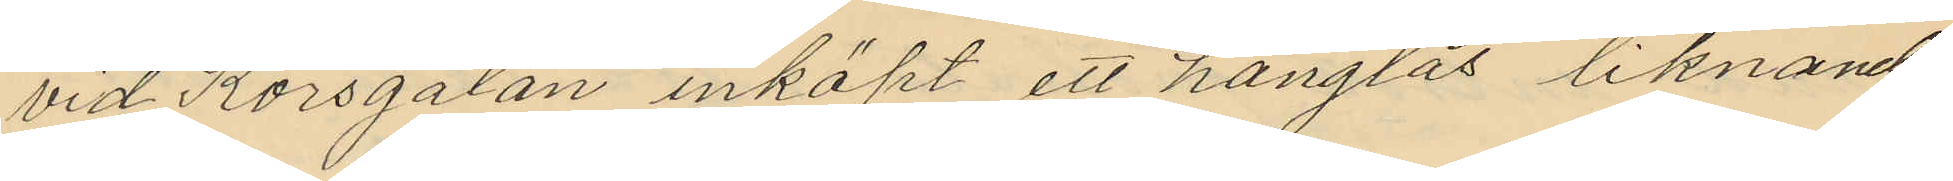vid Korsgatan inköpt ett hänglås liknande
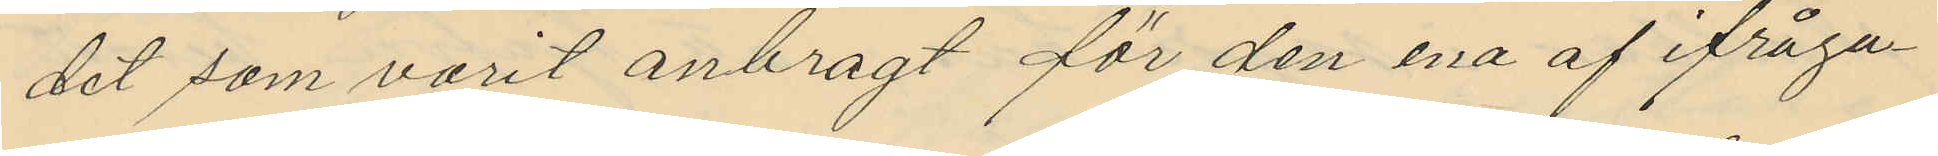det som varit anbragt för den ena af ifråga¬
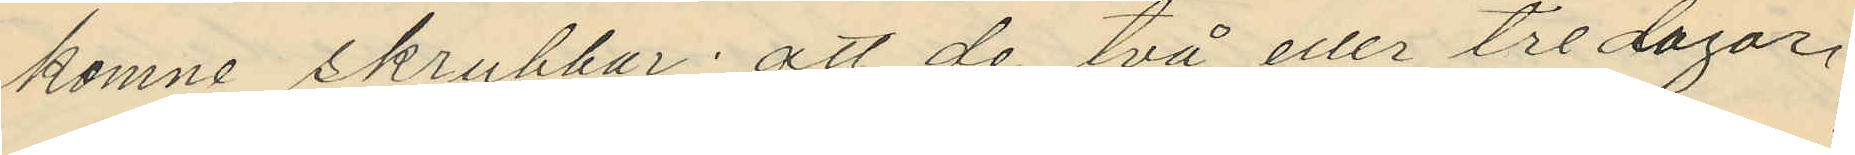komne skrubbar; att de två eller tre dagar,
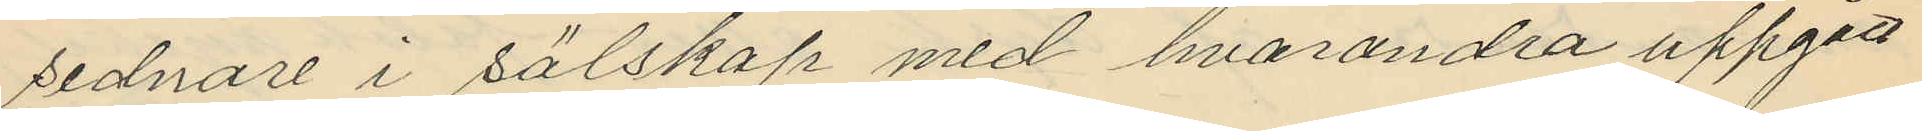sednare i sälskap med hvarandra uppgått
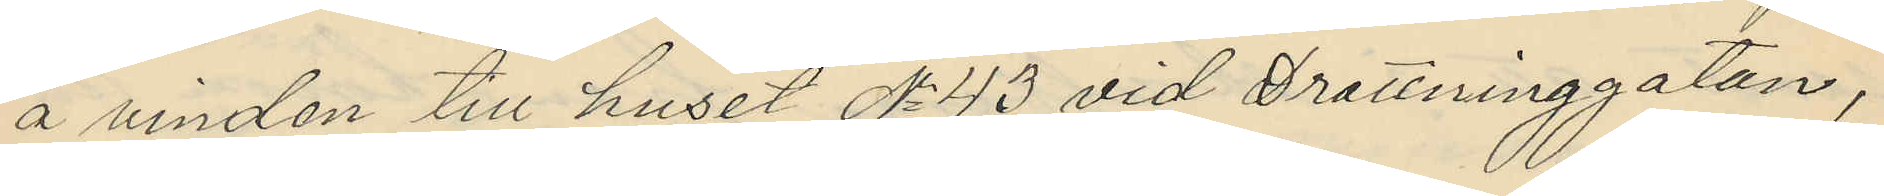å vinden till huset No 43 vid Drottninggatan,
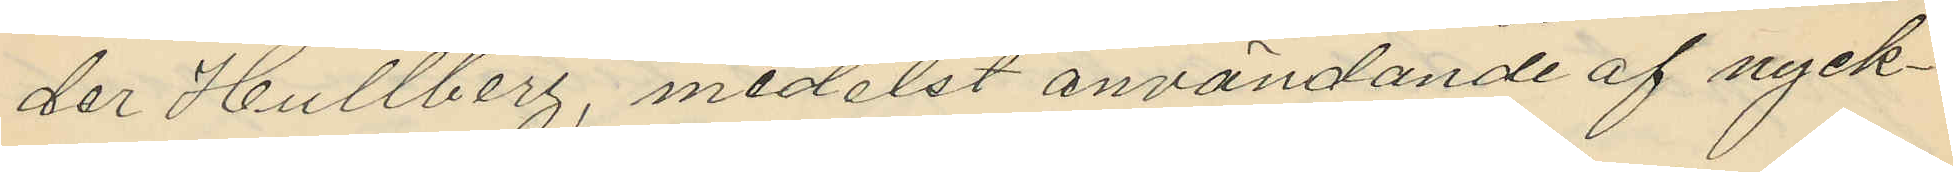der Hultberg, medelst användande af nyck¬
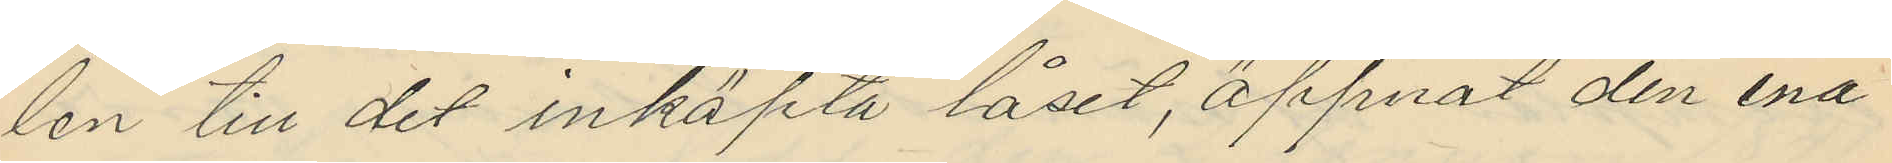len till det inköpta låset, öppnat den ena
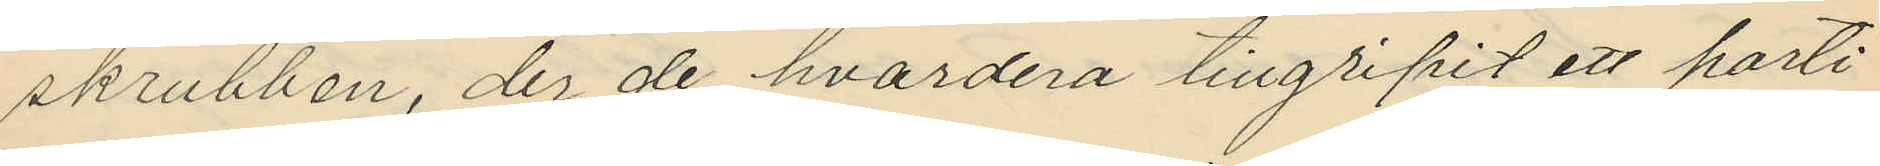skrubben, der de hvardera tillgripit ett parti
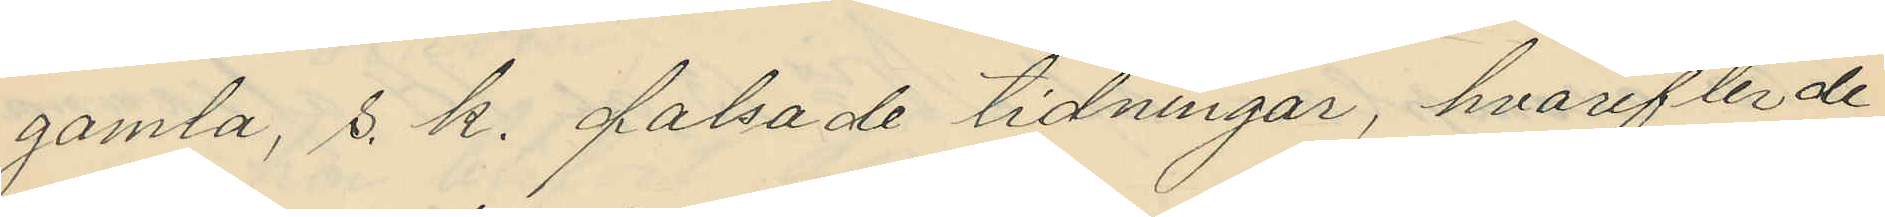gamla, s. k. falsade tidningar, hvarefter de
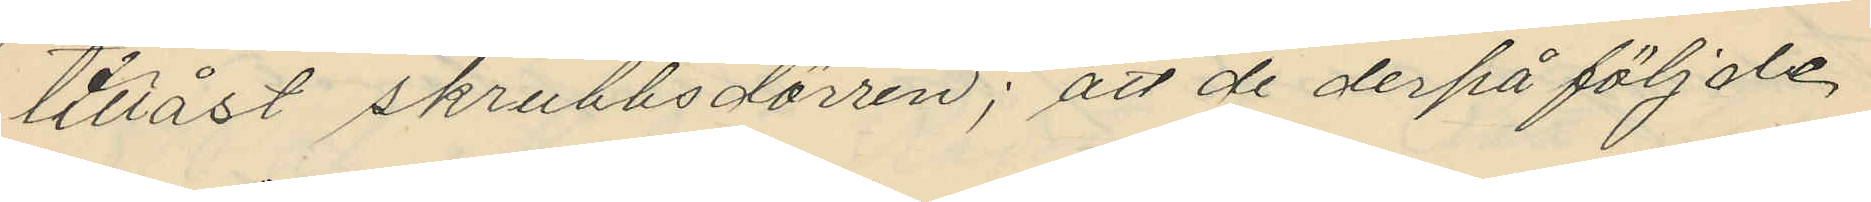tillåst skrubbsdörren; att de derpå följde
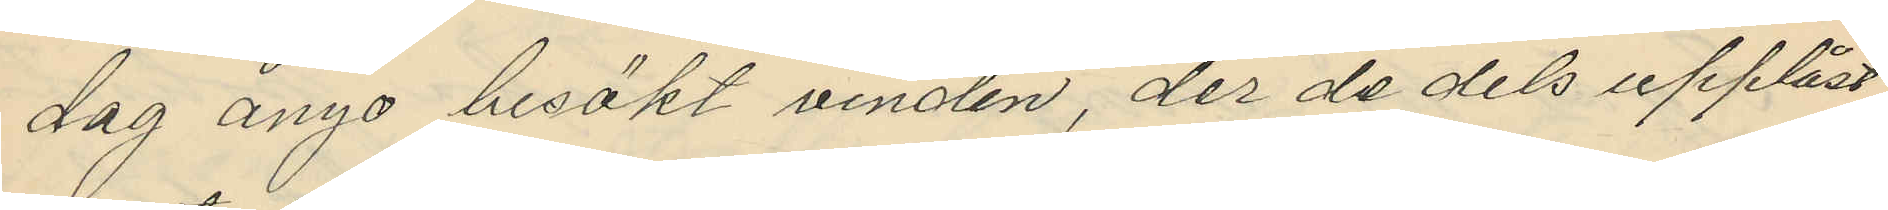dag ånyo besökt vinden, der de dels upplåst
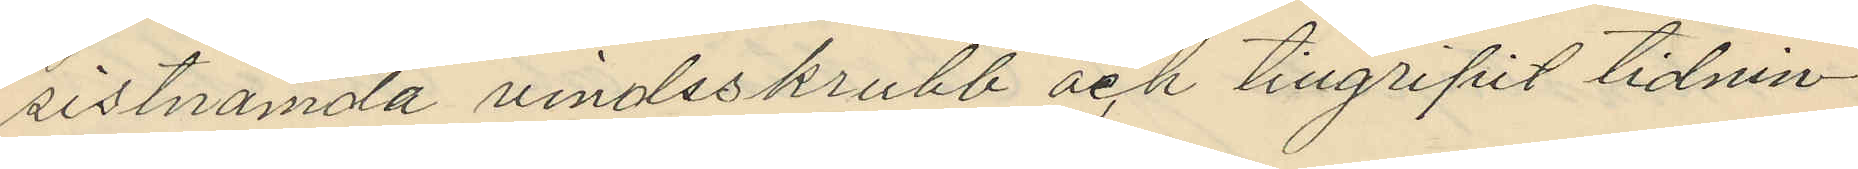sistnämda vindsskrubb och tillgripit tidnin¬
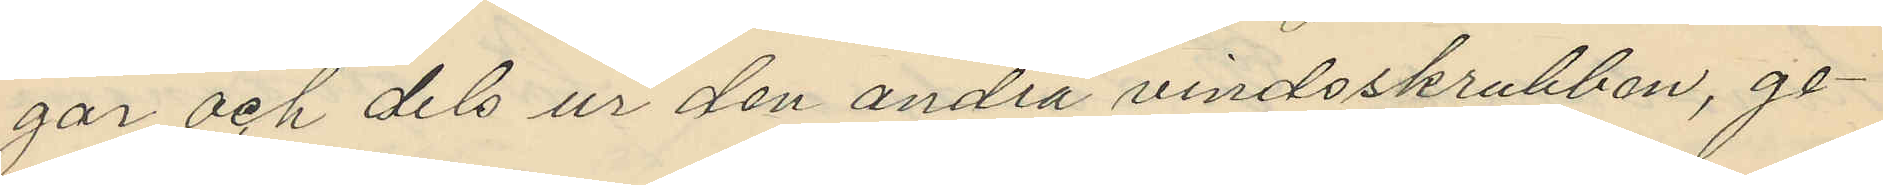gar och dels ur den andra vindsskrubben, ge¬
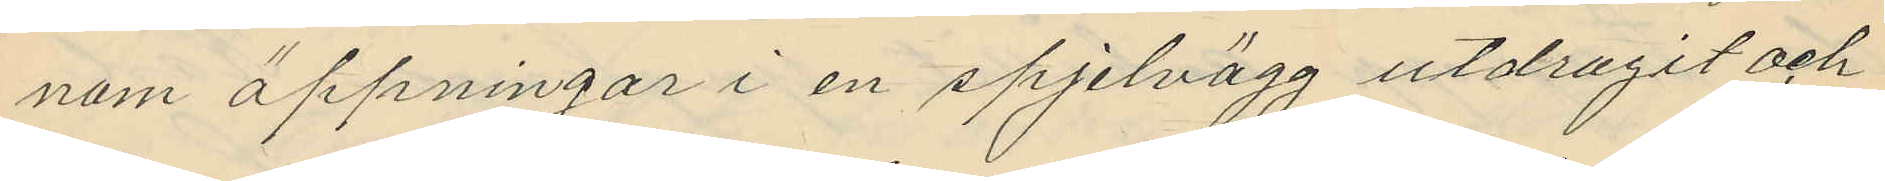nom öppningar i en spjelvägg utdragit och
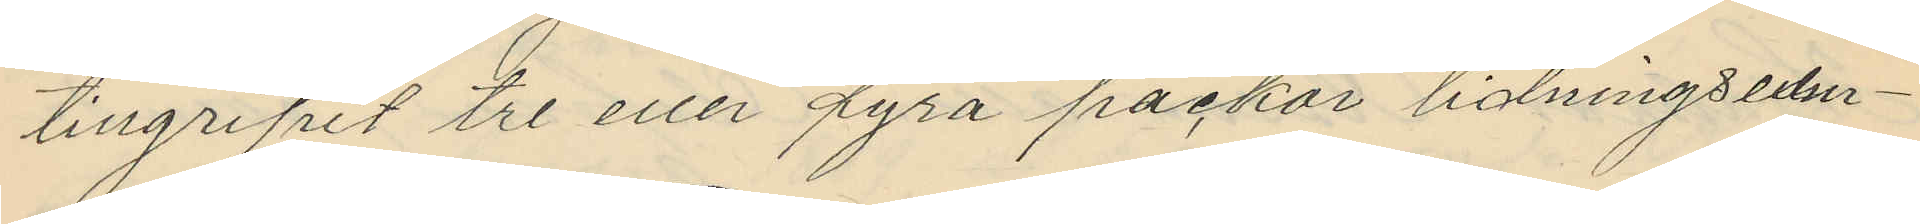tillgripit tre eller fyra packar tidningsexem¬
